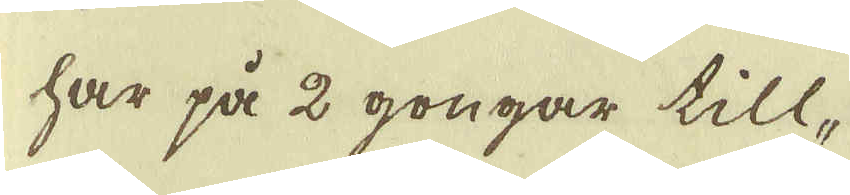har på 2 gongar till-
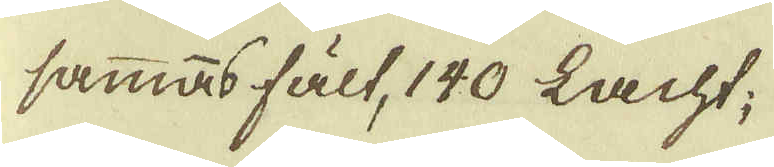sammas fält, 140 Lacht;
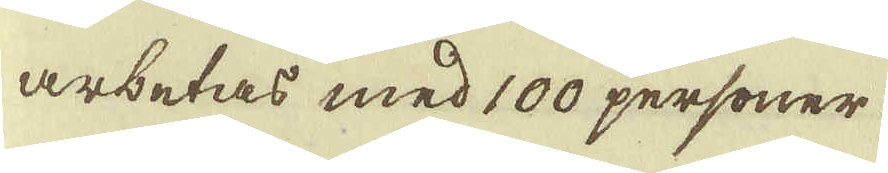arbetas med 100 personer
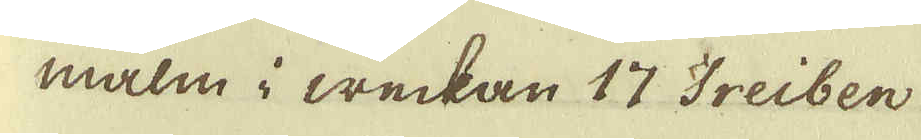malm i weckan 17 Treiben
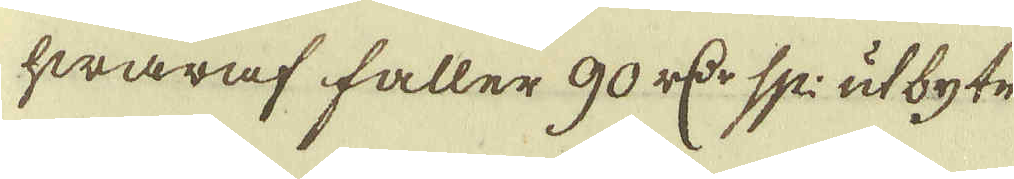hwaraf faller 90 r:cr sp: utbyte
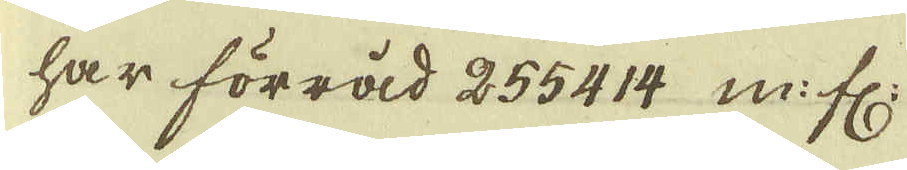har förråd 255414 m.fr:
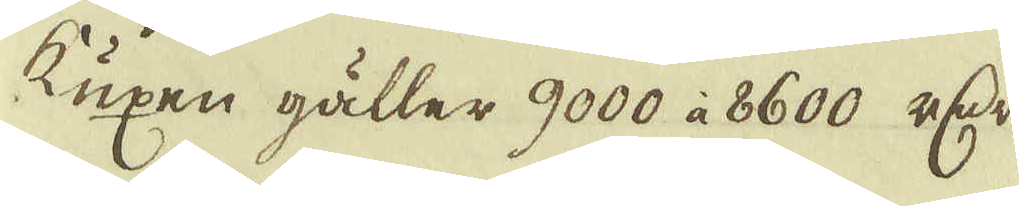Kuxen gåller 9000 à 8600 r:dr.
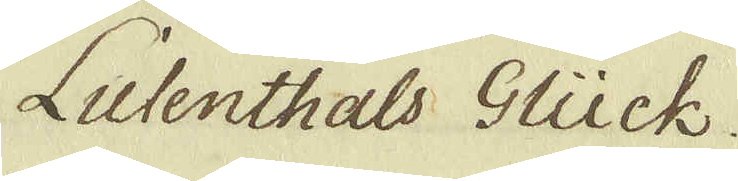Lulenthals Glück.
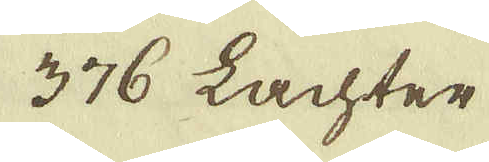376 Lachter
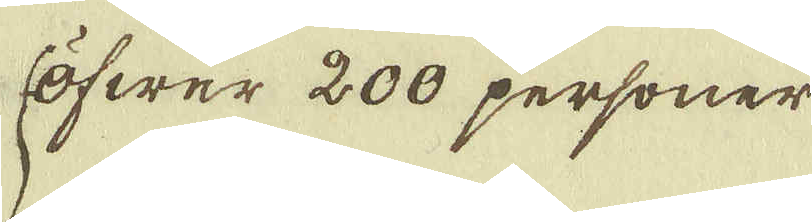Öfwer 200 personer
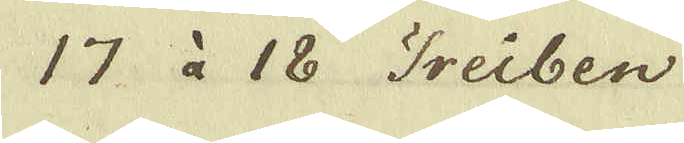17 à 18 Treiben
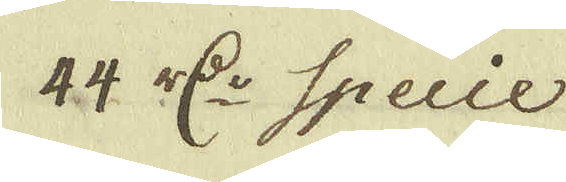44. r:cr Specie
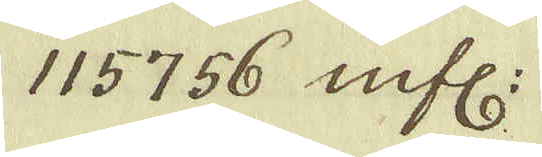115756 mfl:
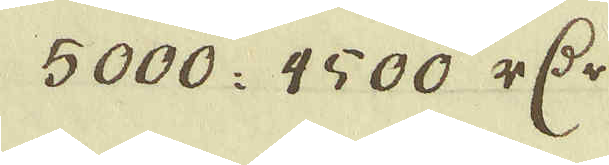5000: 9500. r:dr 
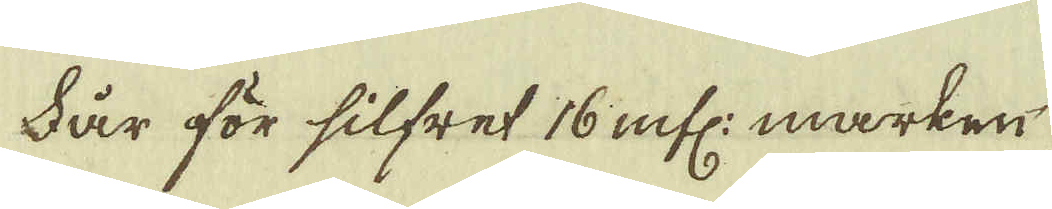Får för silfret 16 mfl: marken
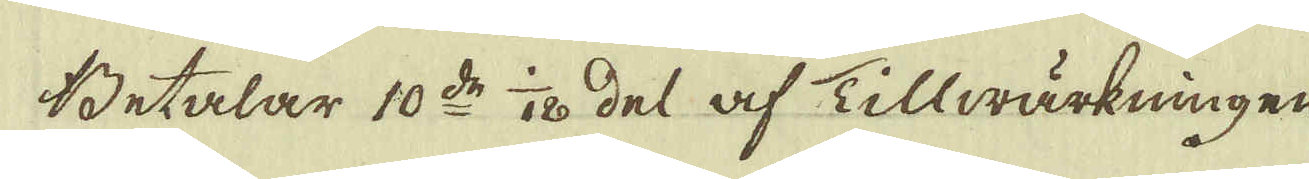Betalar 10:de 1/120 del af Tillwärkningen
